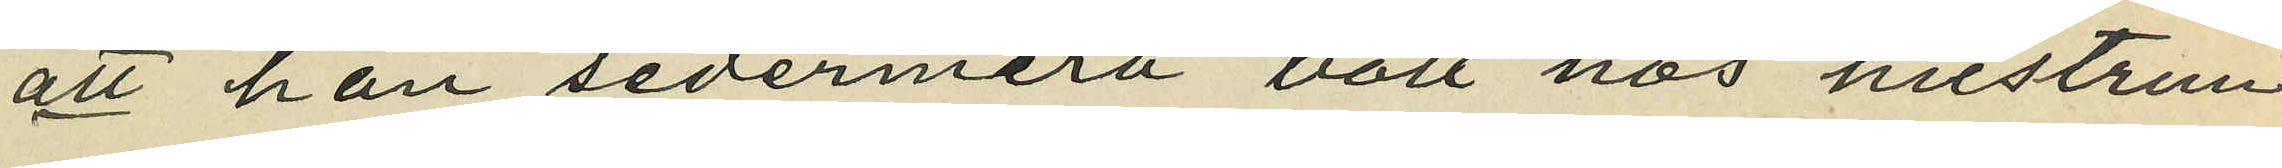att han sedermera bott hos hustrun
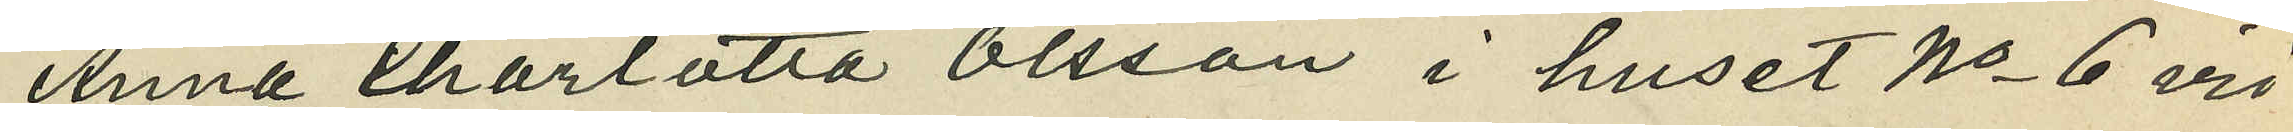Anna Charlotta Olsson i huset No 6 vid
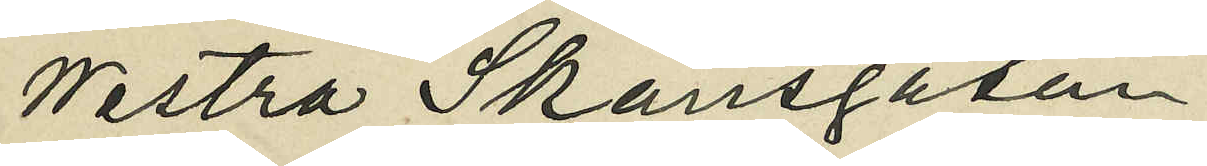Westra Skansgatan;
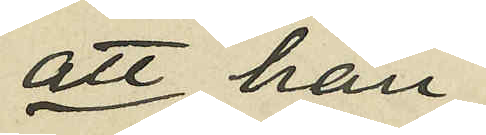att han
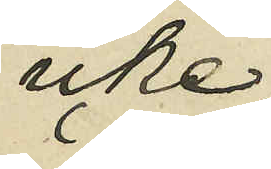icke
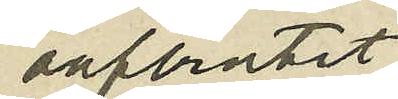oafbrutet
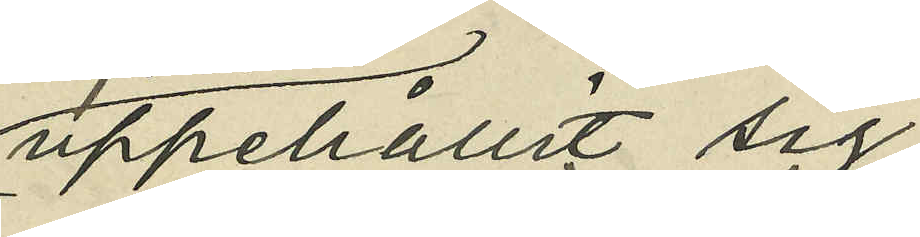uppehållit sig
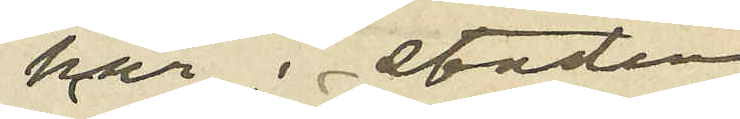här i staden
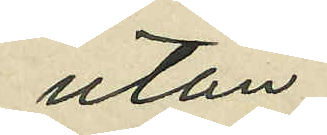utan
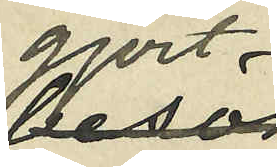gjort
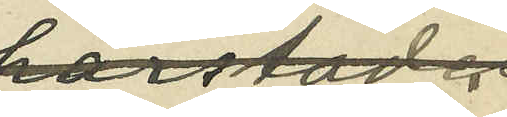resor till
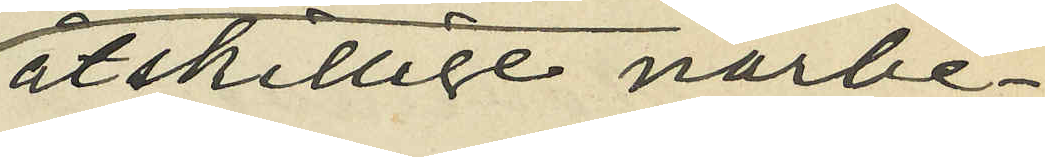åtskillige närbe¬
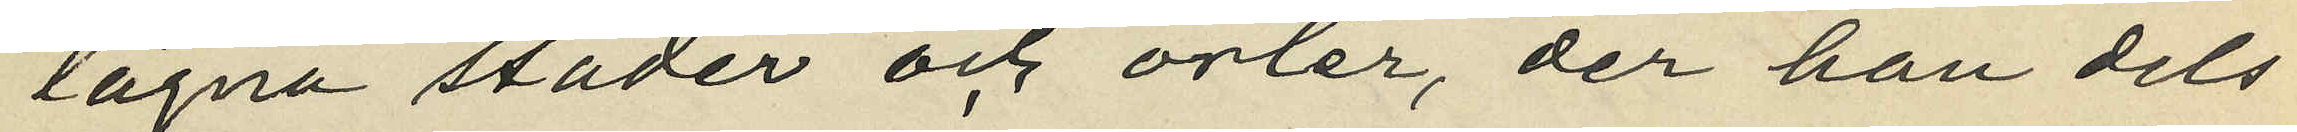lägna städer och orter, der han dels
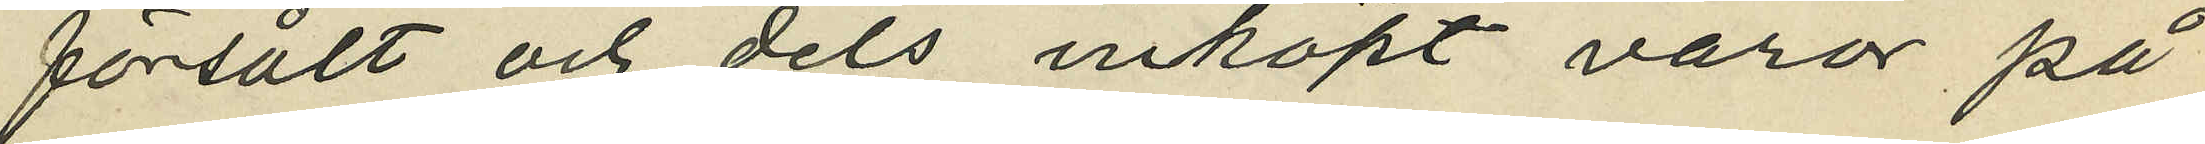försålt och dels inköpt varor på
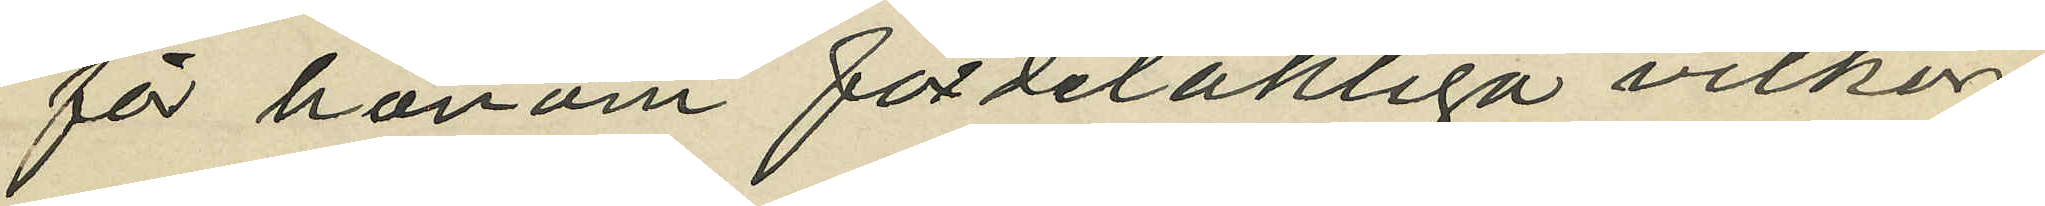för honom fördelaktiga vilkor;
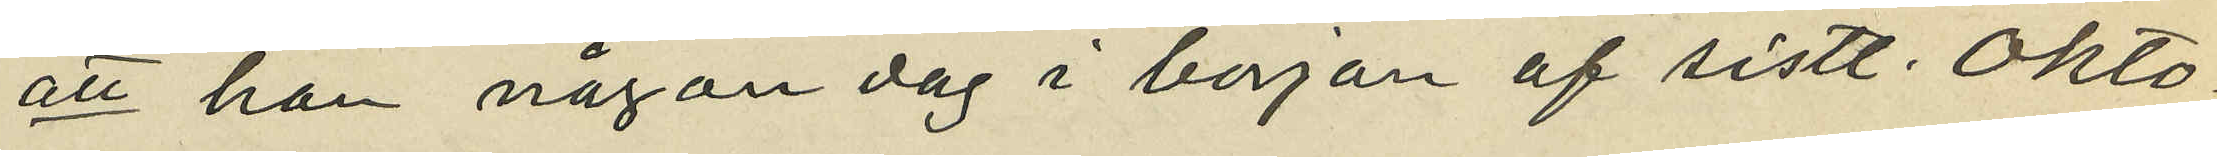att han någon dag i början af sistl. Okto¬
